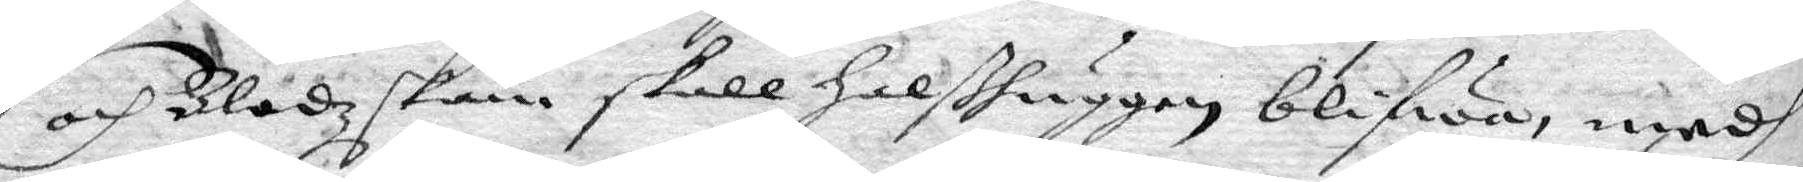och Blodzskam skall halshuggen blifwit, medh
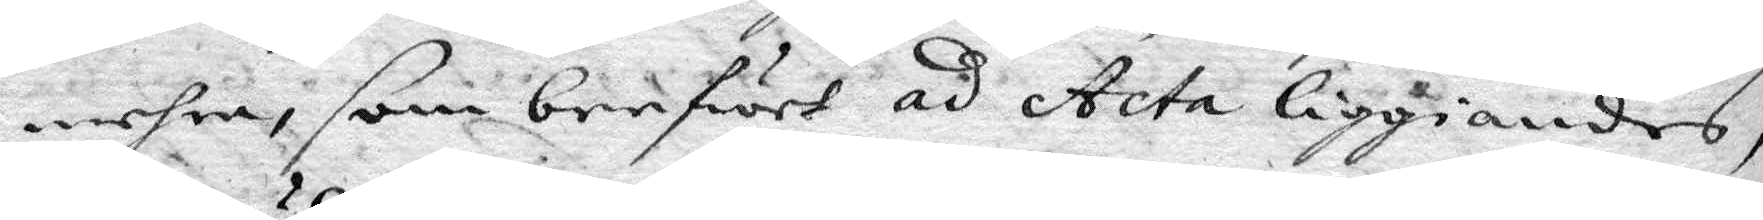mehra, som brefwet ad Acta liggiandes,
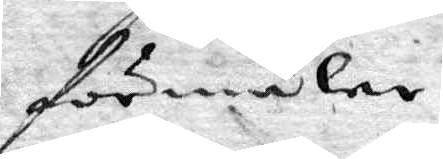förmäler.
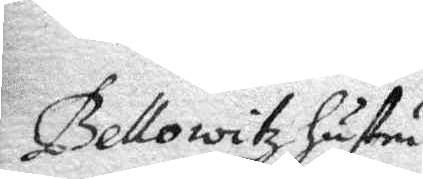Bellowitz hustru
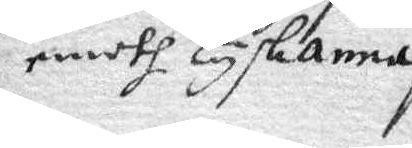emoth Tyskanna
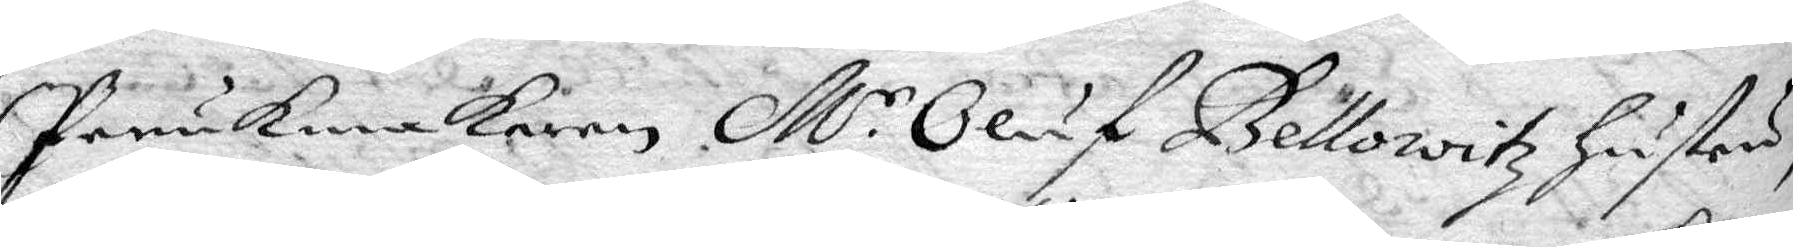Perukmakaren Mr Oluf Bellowitz hustru
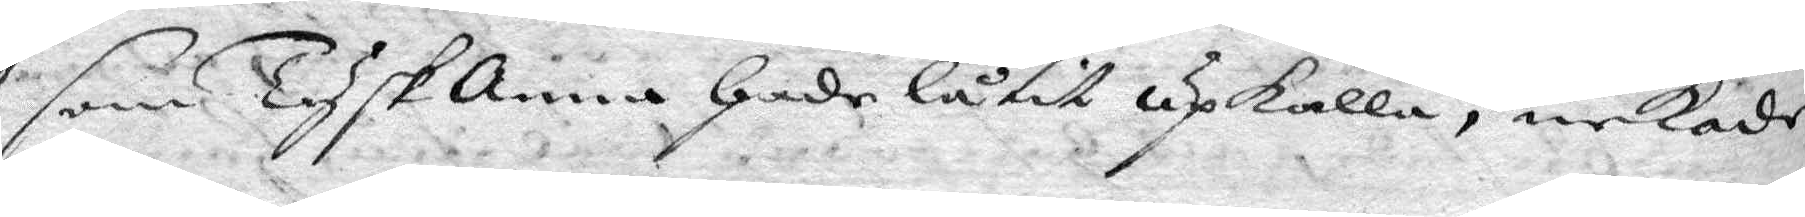som Tysk Anna hade låtit upkalla, nekade
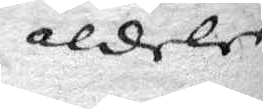aldeles
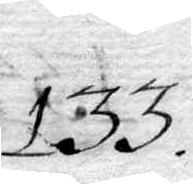133.
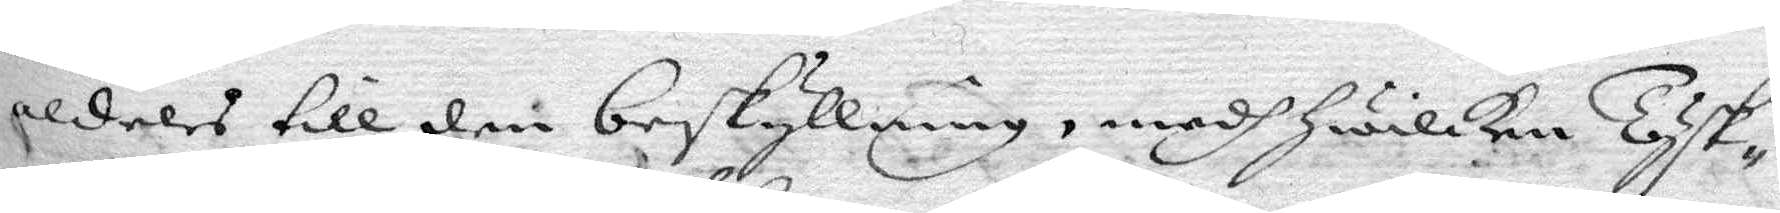aldeles till den beskyllning, medh hwilken Tysk¬
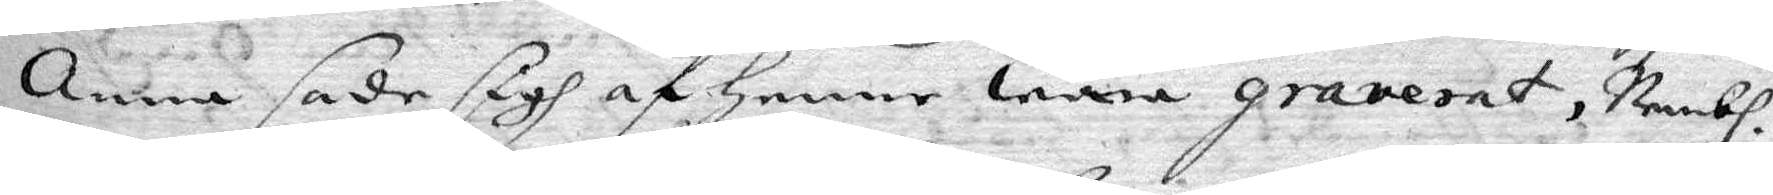Anna sade sigh af henne wara graverat, Nembl.
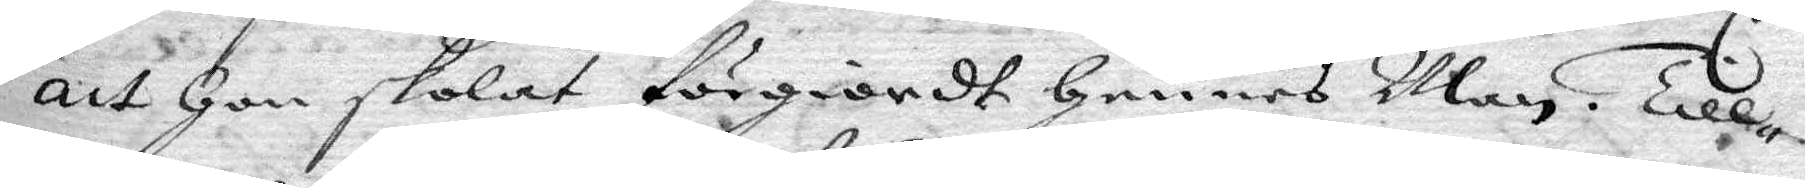att hon skolat förgiordt hennes Man. Till¬
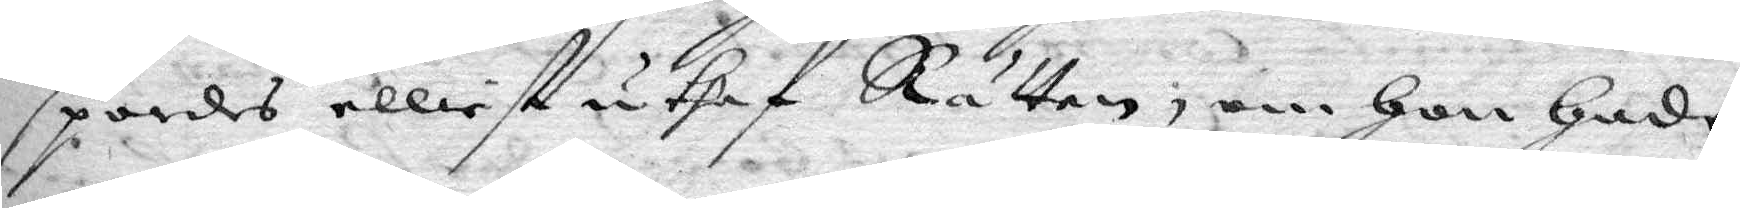spordes elliest uthaf Rätten, om hon hade
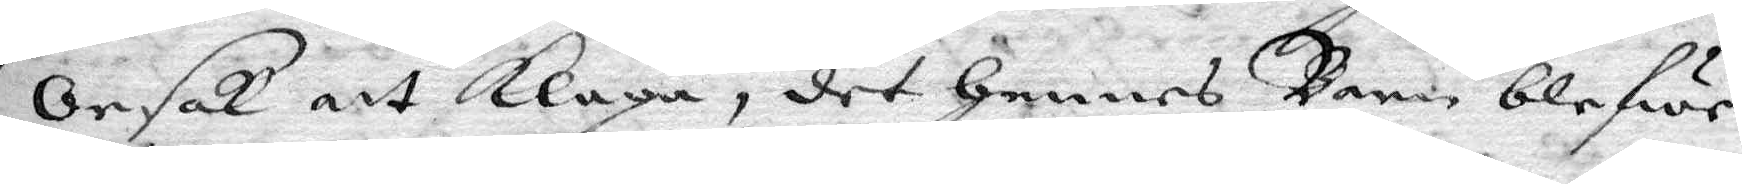orsak att klaga, det hennes barn blefwe
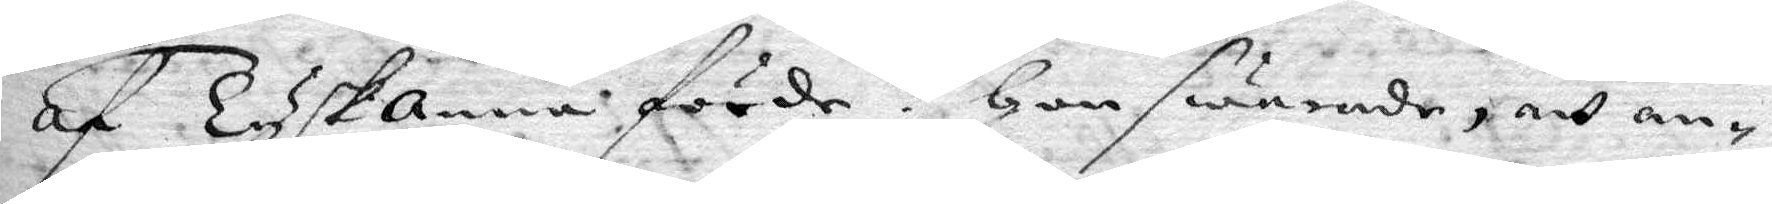af Tysk anna förde? hon swarade, att an¬
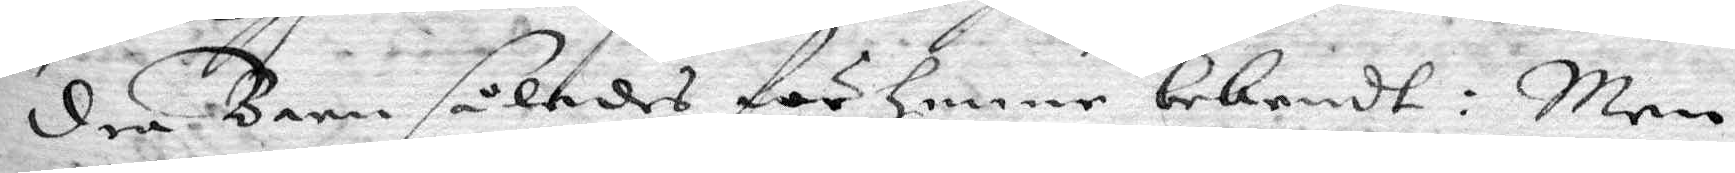dre Barn således för henne bekendt: Men
